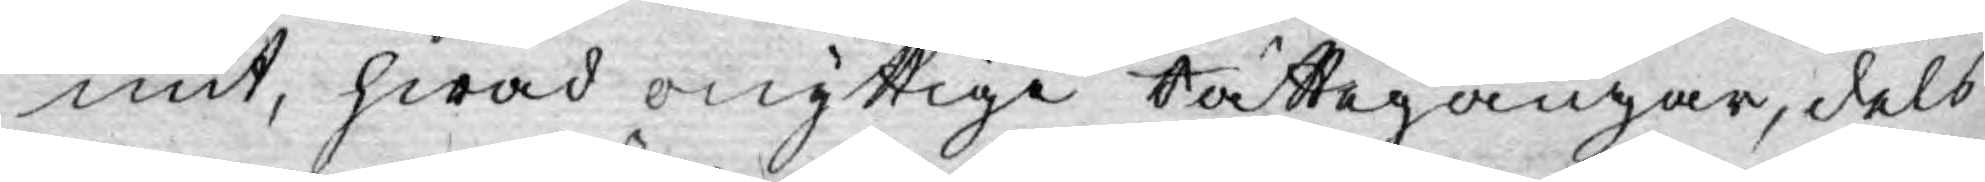mit, hwad onyttige Rättegångar, dels
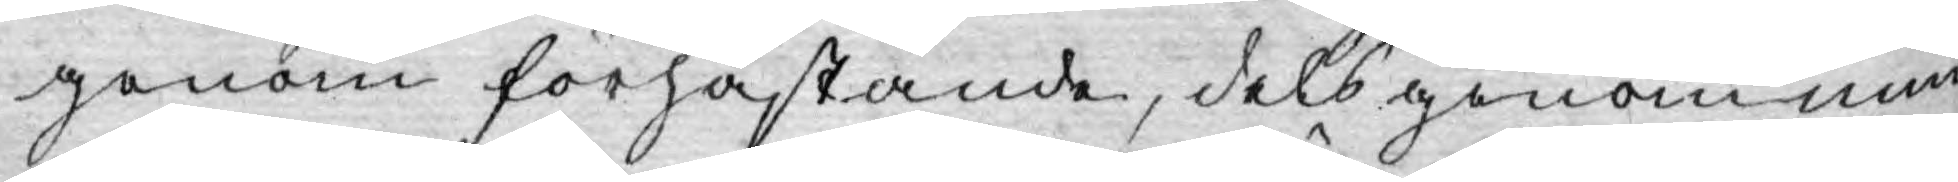genom förhastande, dels genom min¬
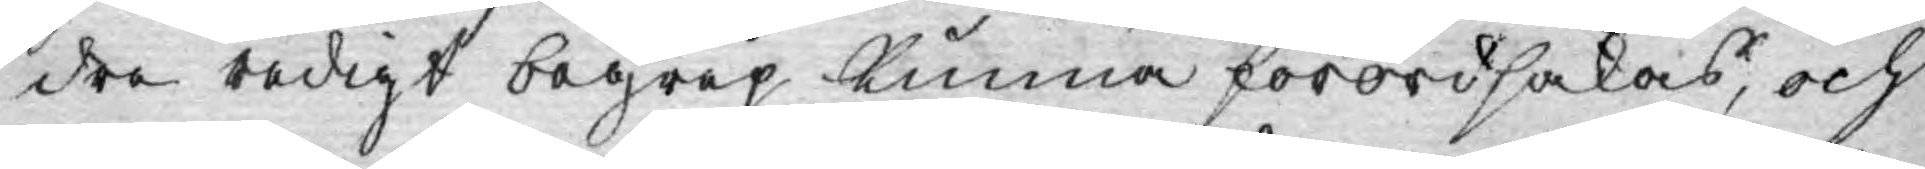dre redigt begrep kunna förordsakas, och
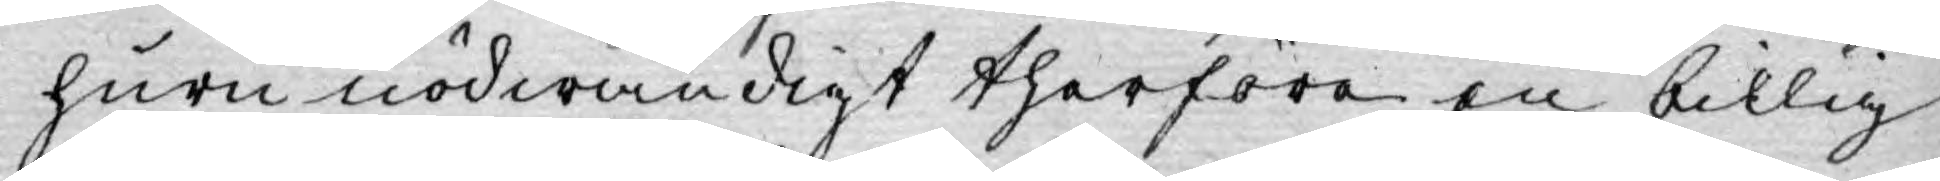huru nödwändigt therföre en billig
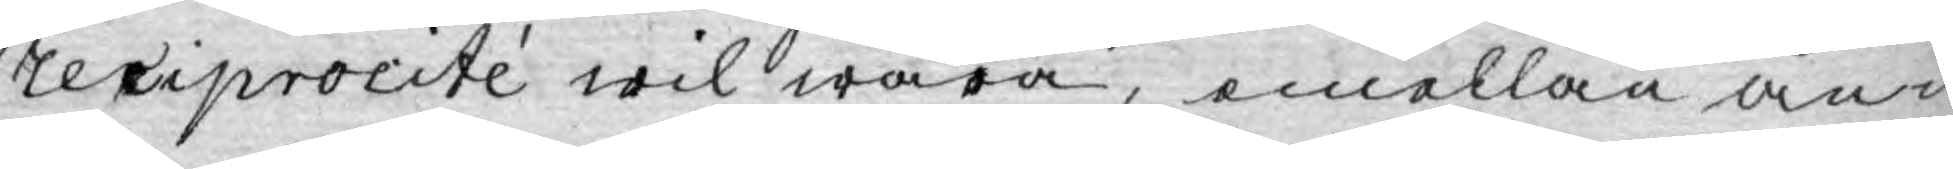reciprocité wil wara, emellan an¬
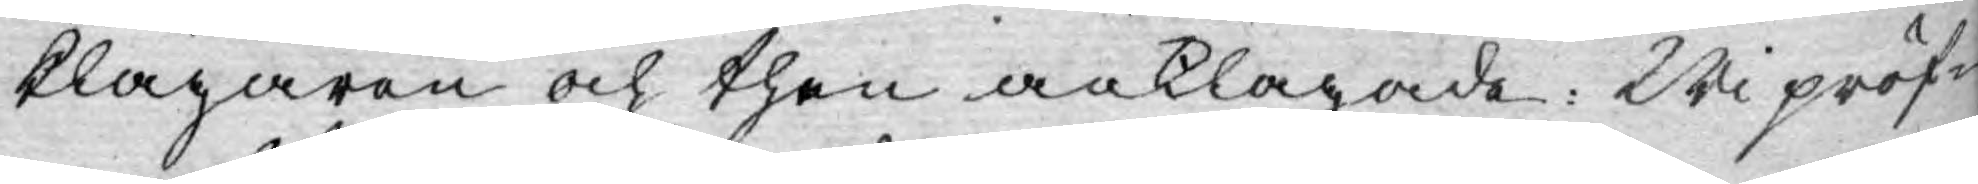klagaren och then anklagade. Wi pröf¬
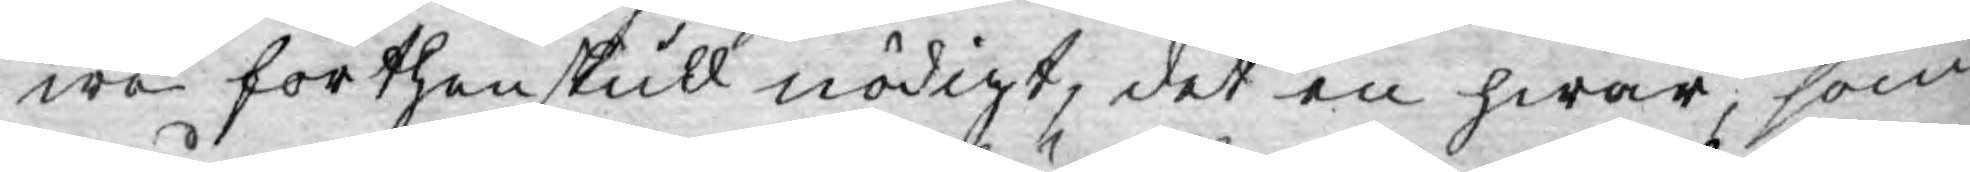wa förthenskull nödigt, det en hwar, som
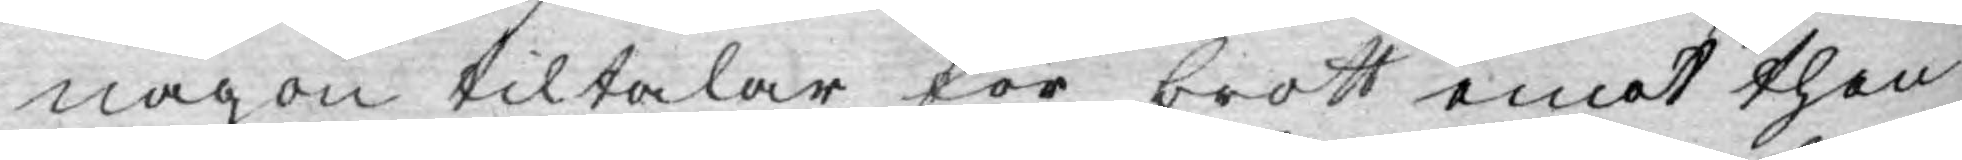någon tiltalar för brott emot then¬
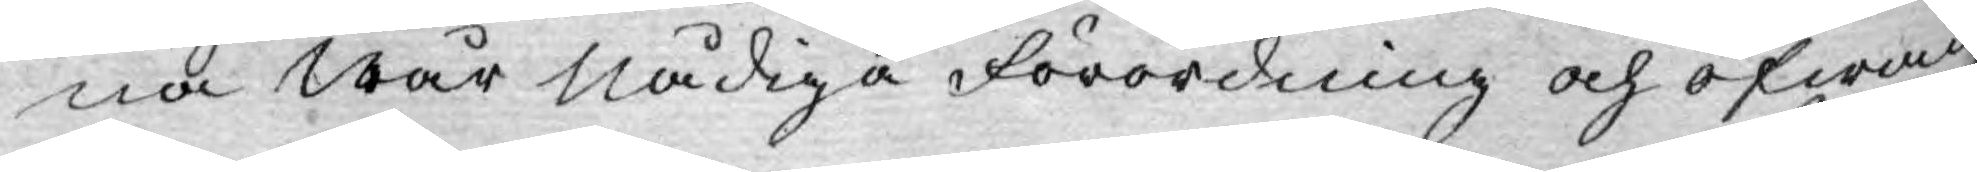na wår Nådiga Förordning och ofwan
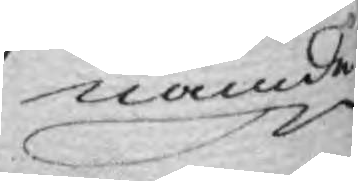nämde
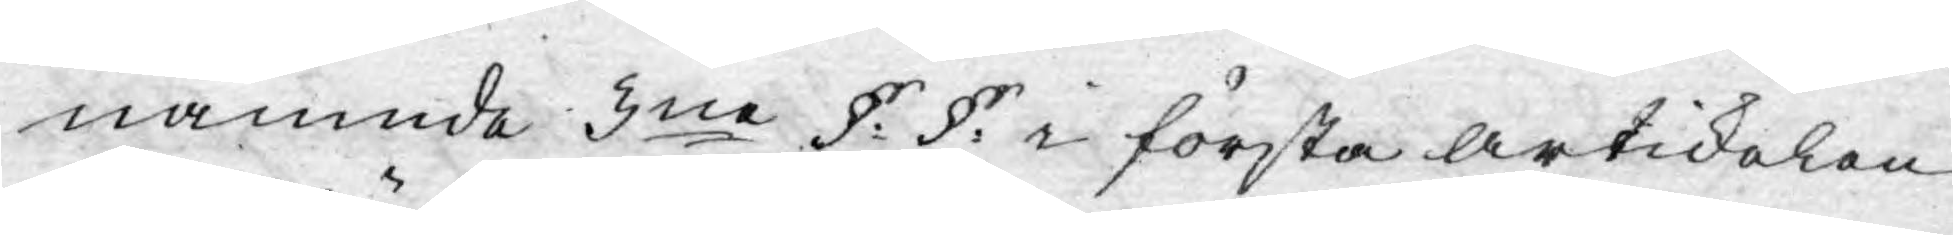nämnde 3ne §: §: i första artikelen
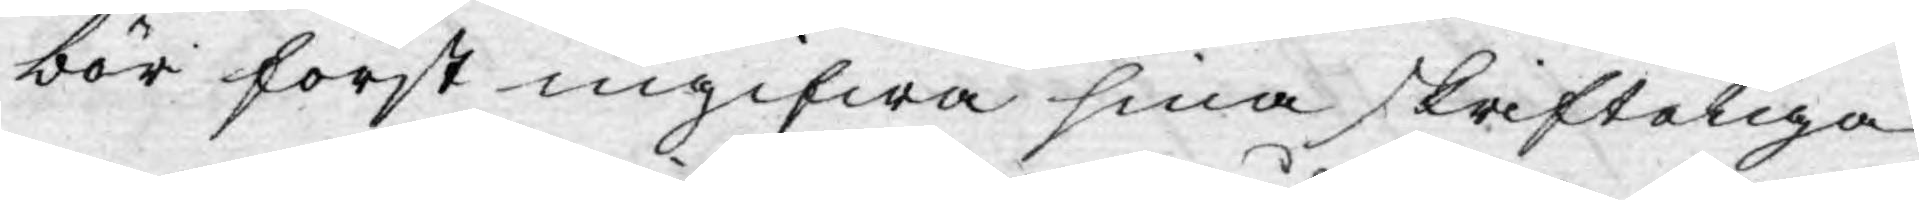bör först ingifwa sina skrifteliga
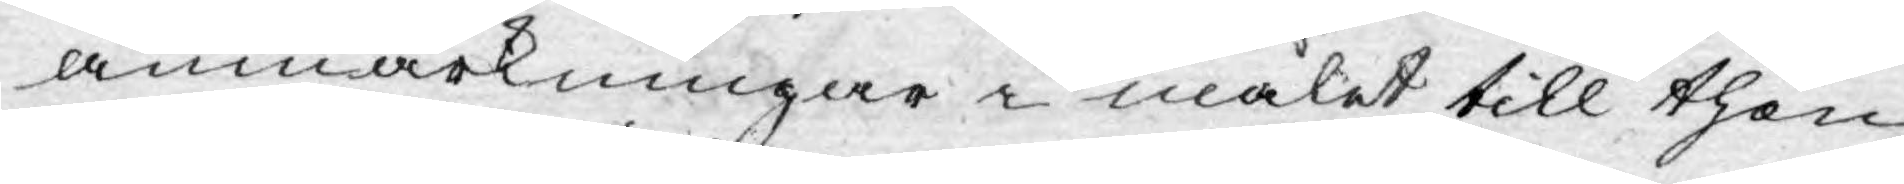anmärkningar i målet till then
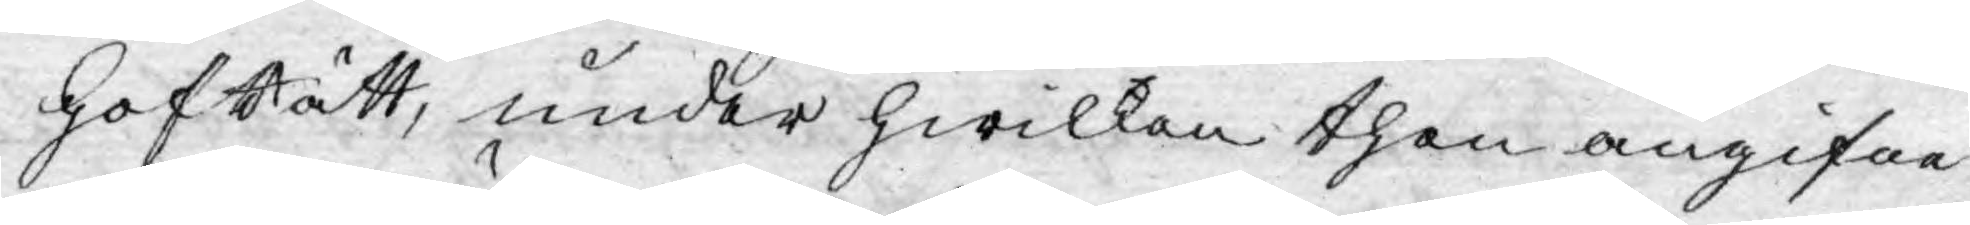HofRätt, under hwilken then angifne
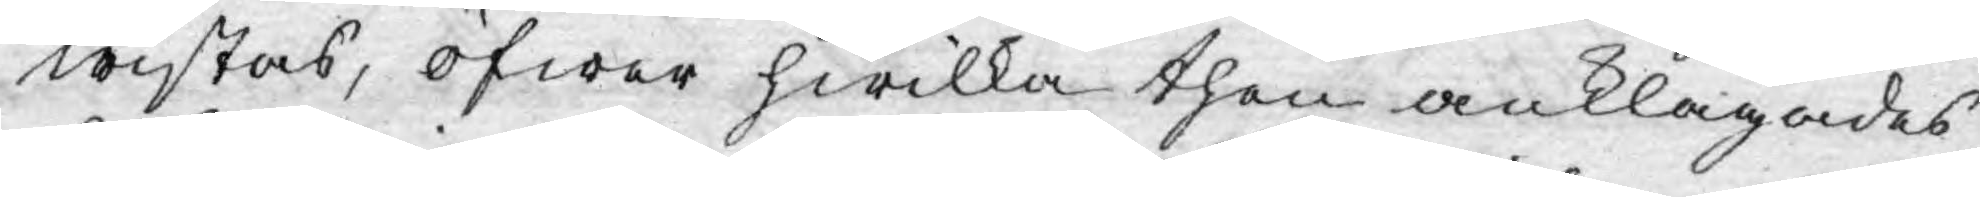wistas, öfwer hwilka then anklagades
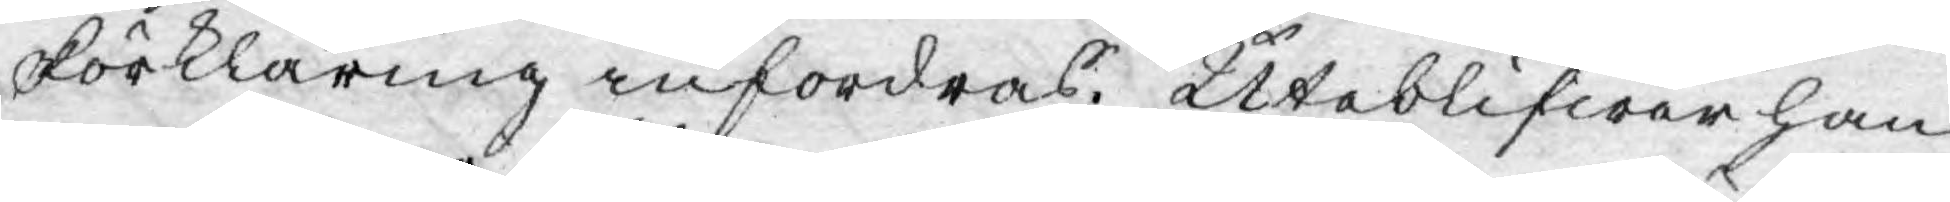Förklaring infordras. Uteblifwer han
